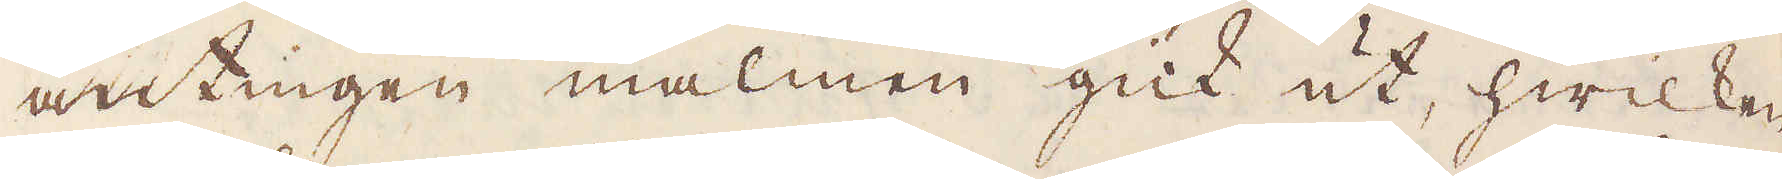antingen malmen gick ut, hwilken
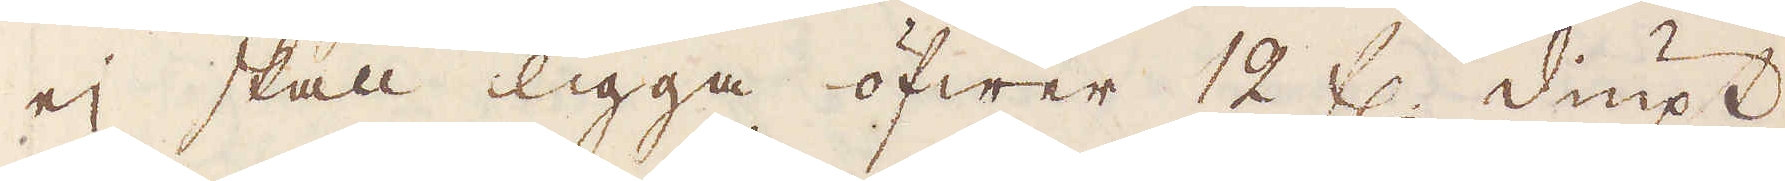ej skall ligga öfwer 12 fl. diupt
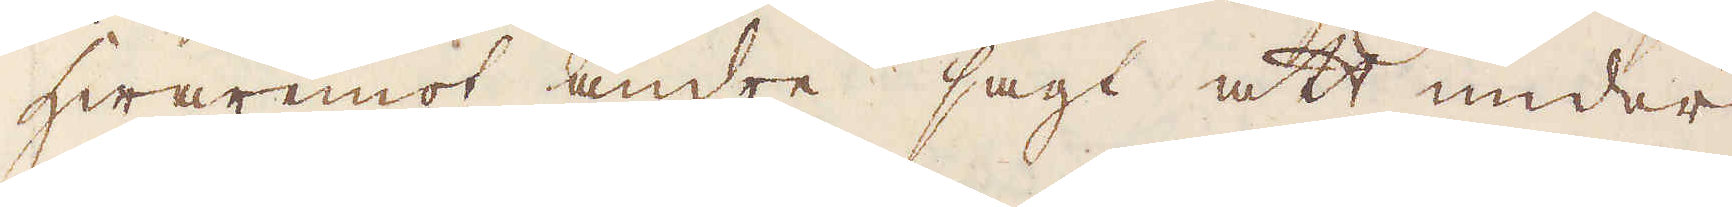hwaremot andre sagt att under
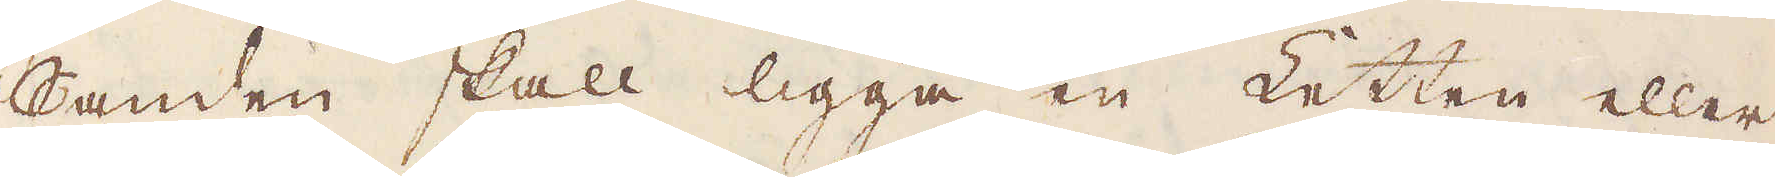Sanden skall ligga en Letten eller
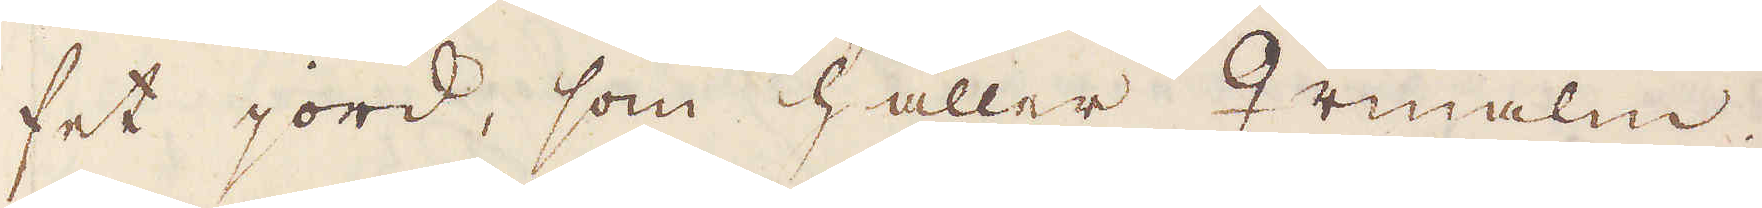fet jord, som håller ♀malm;
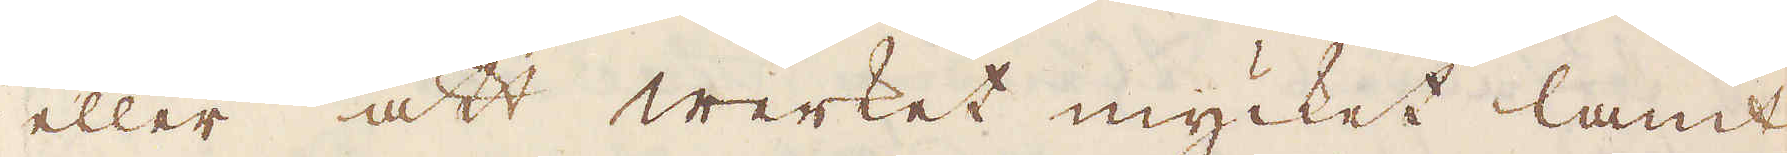eller att werket mycket lamt
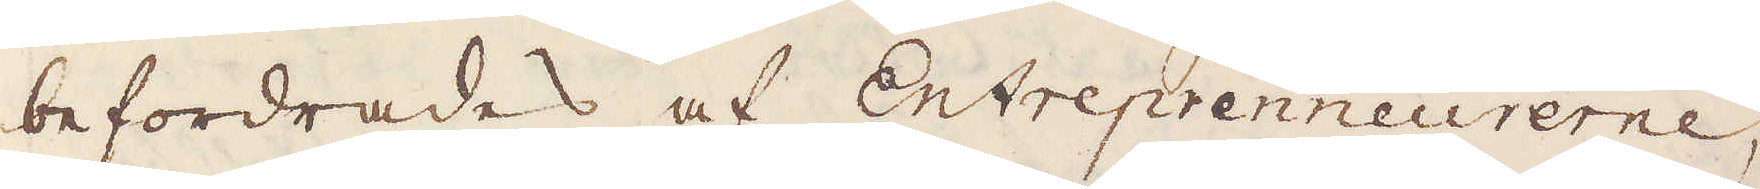befordrades af Entreprenneurerne,
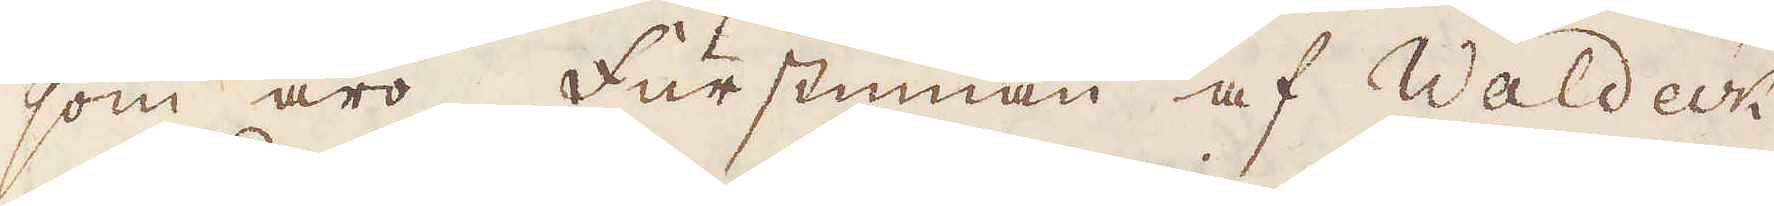som äro Furstinnan af Waldeck
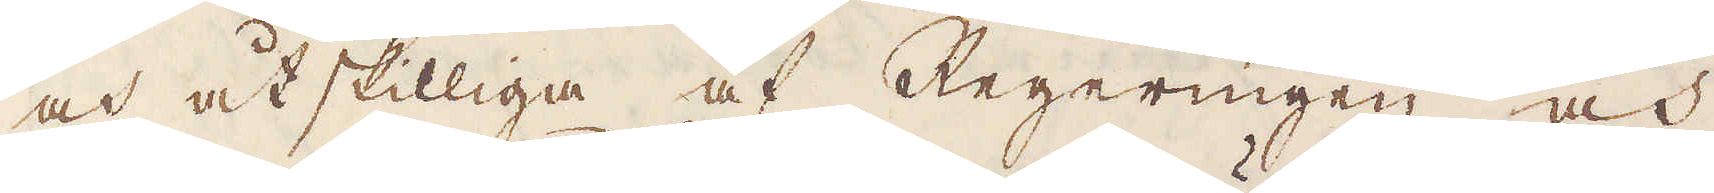och åtskilliga af Regeringen och
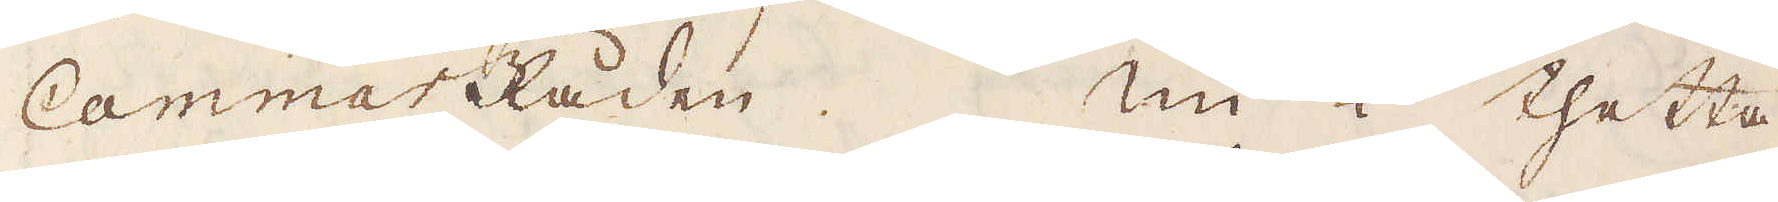CammarRåden. Nu i thetta
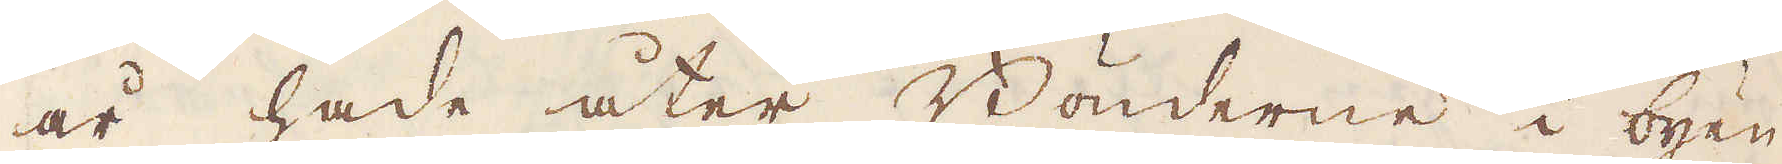år hade åter Bönderne i byen
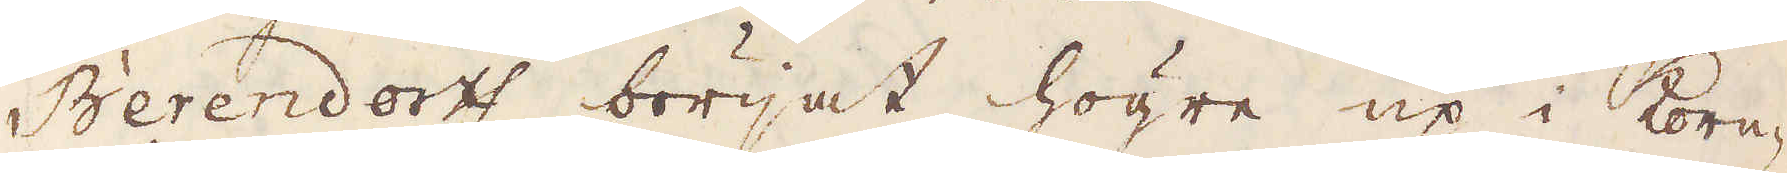Berendortf börjat högre up i korn-
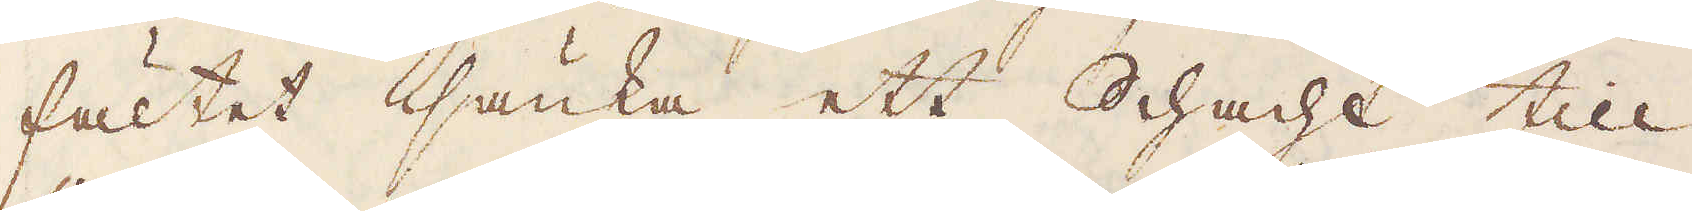fältet sänka ett Schacht till
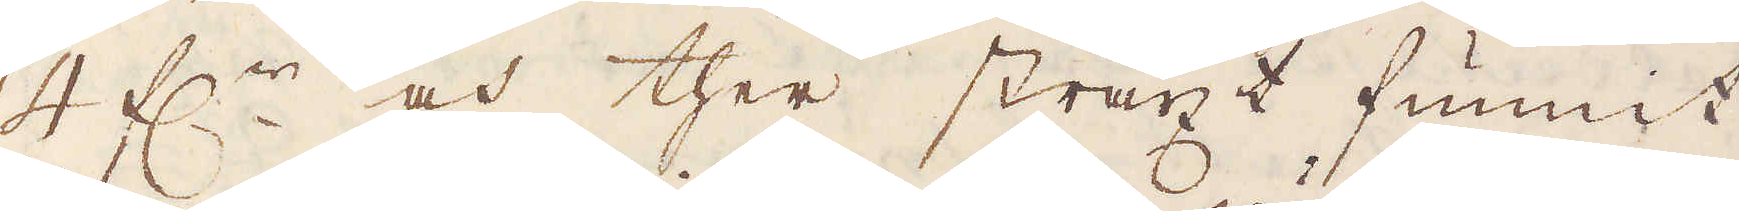4 f:r och ther straxt funnit
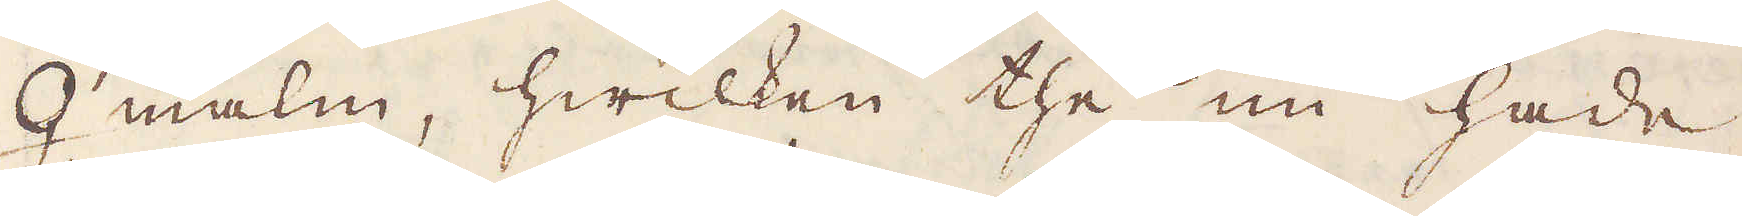♀ malm, hwilken the nu hade
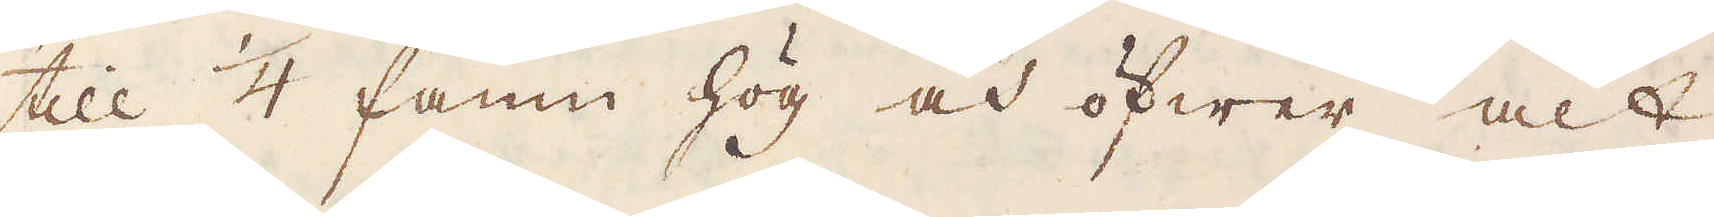till 1/4 famn hög och öfwer alt
